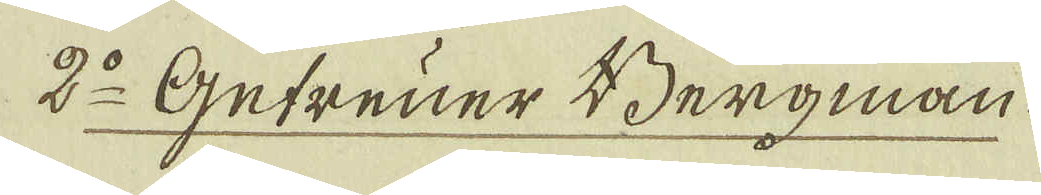2:o Getruer Bergman.
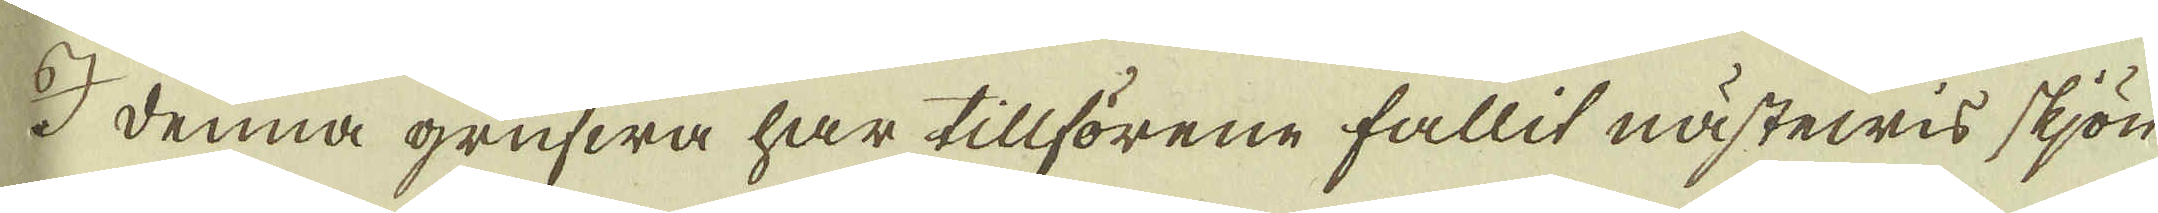I denna grufwa har tillförene fallit nästewis skjön
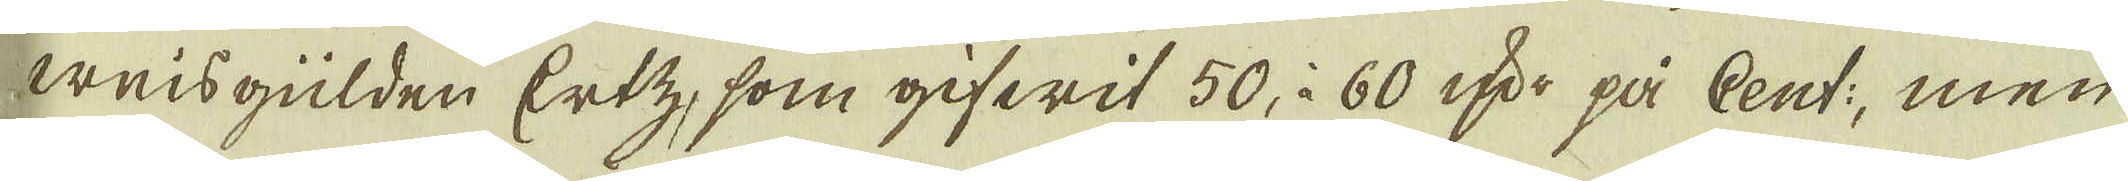weisgülden Ertz, som gifwit 50, à 60 qvr på Cent:; men
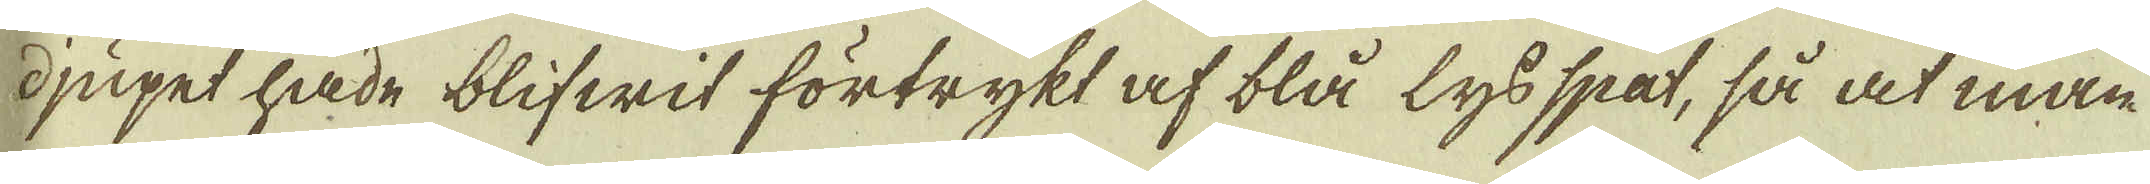djupet hade blifwit förtrykt af blå lys spat, så at man
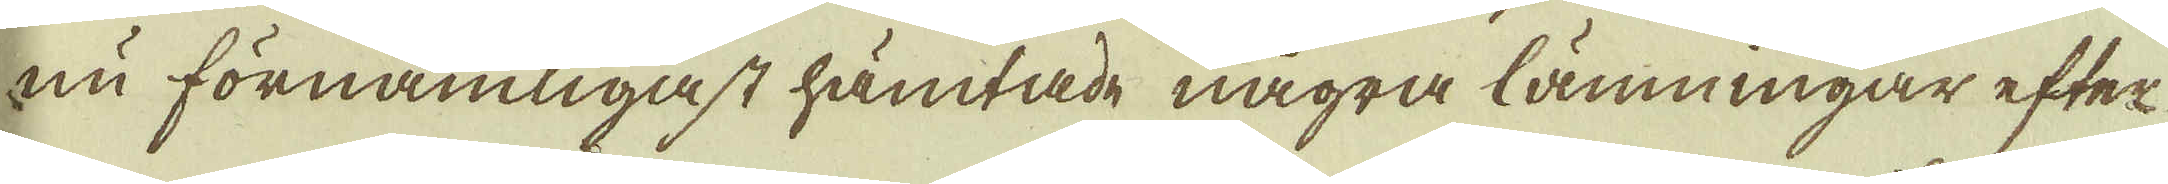nu förnämligast hämtade några lämningar efter
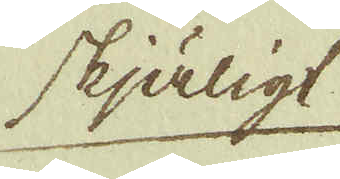skjäligt
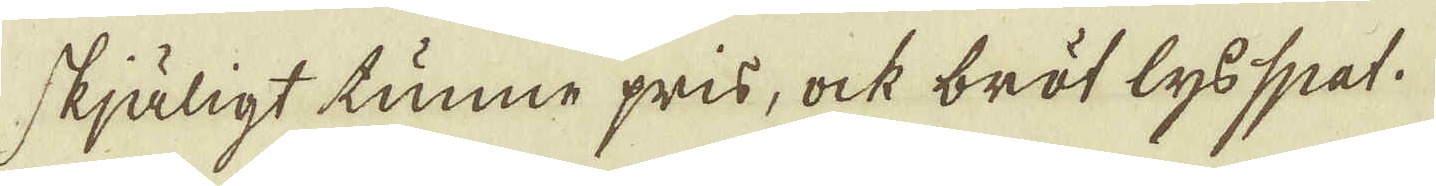skjäligt tunne pris, ock bröt lysspat.
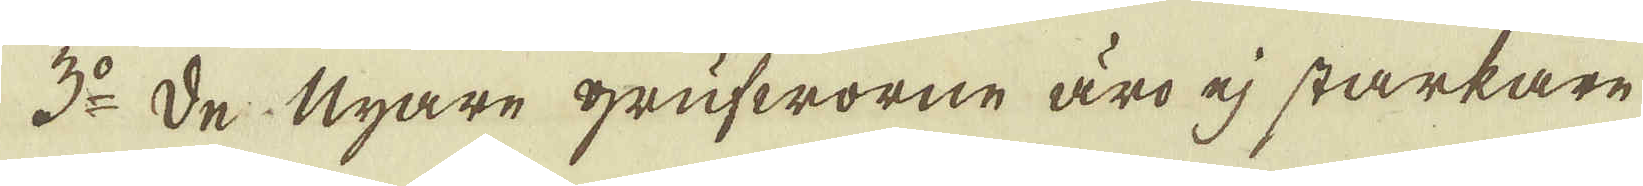3:o De Nyare grufworne äro ej starkare
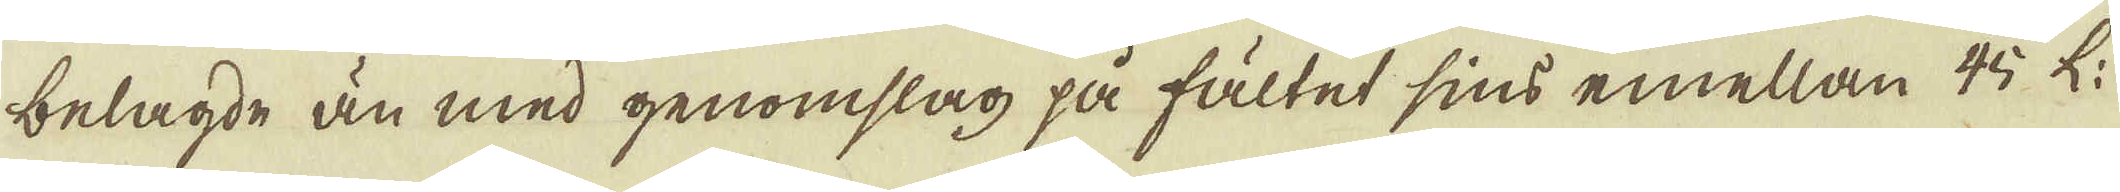belagde än med genomslag på fältet sins emellan 45 L:
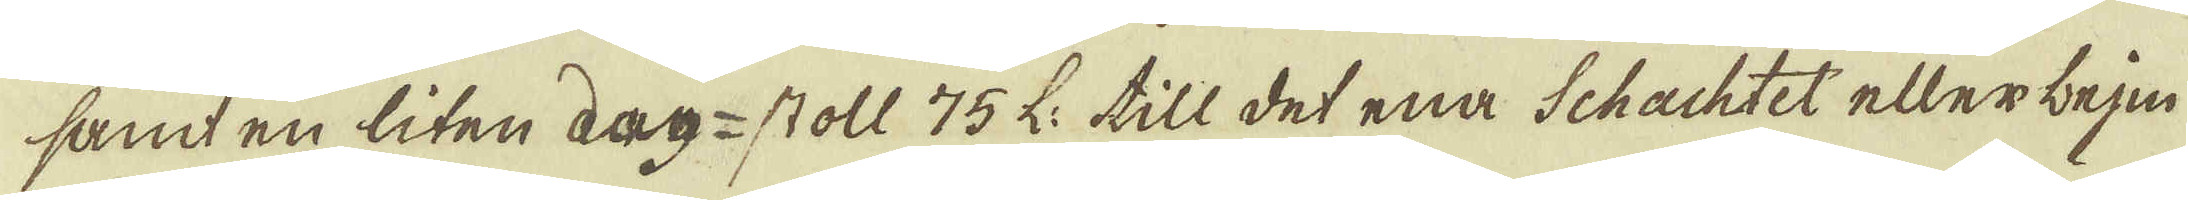samt en liten dag-stoll 75 L: till det ena Schachtet eller beje-
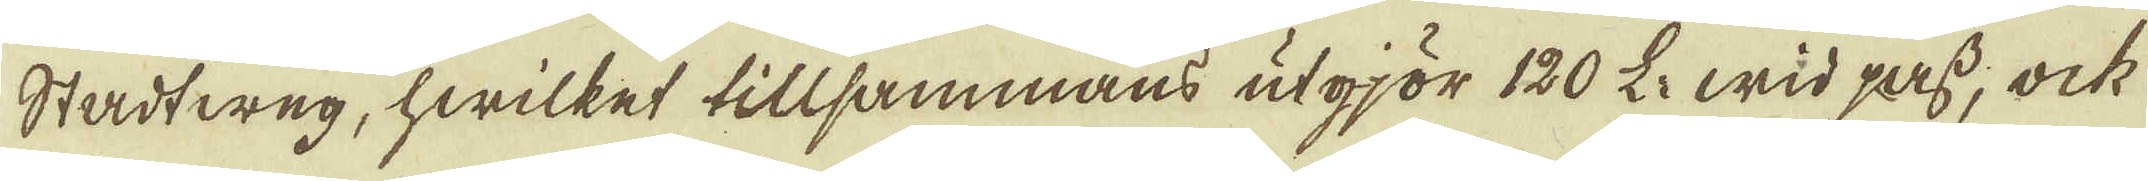Stadtweg, hwilket tillsammans utgjör 120 L: wid pass, ock
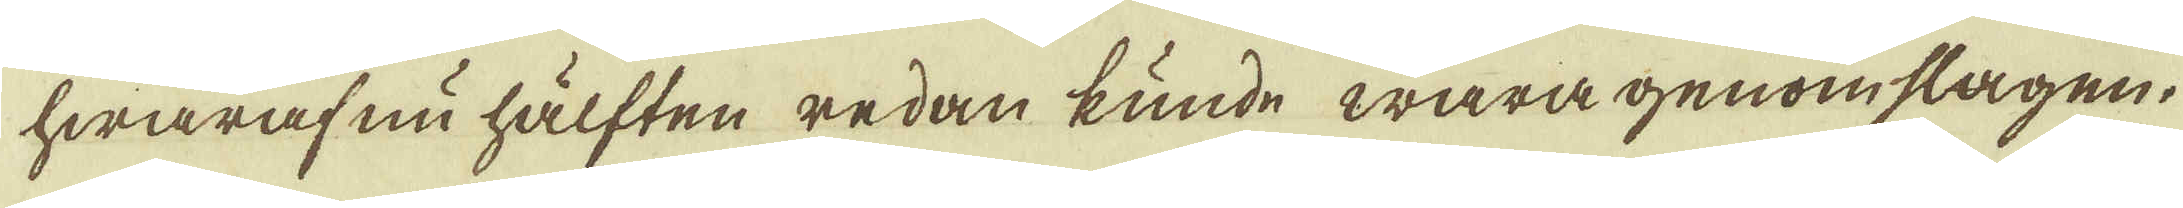hwaraf nu hälften redan kunde wara genomslagen.
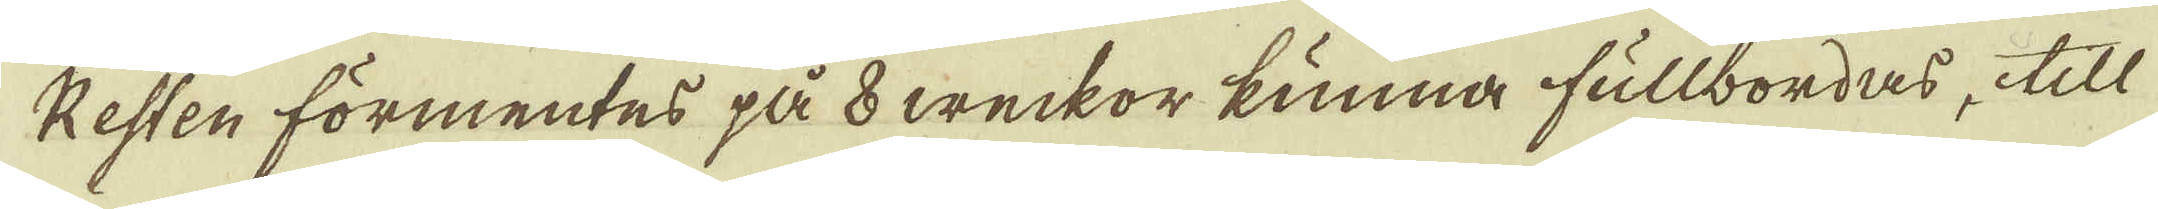Resten förmentes på 8 weckor kunna fullbordas, till
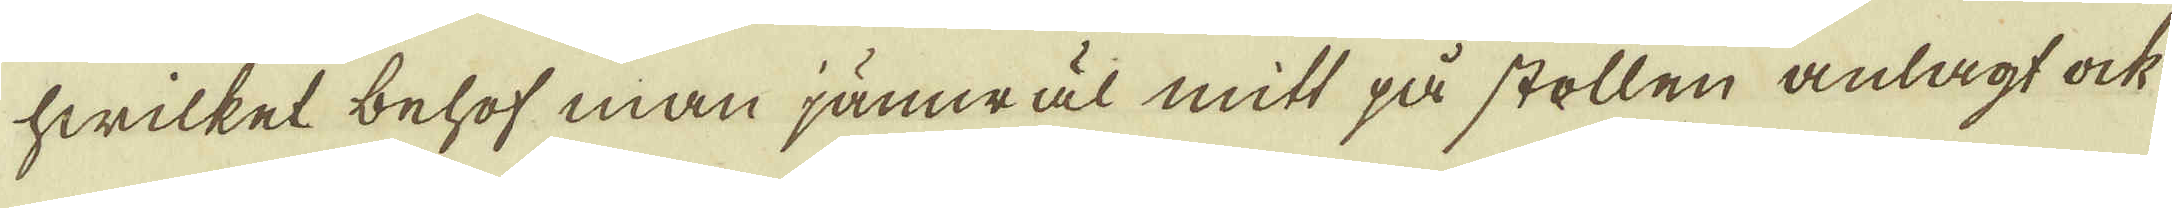hwilket behof man jämwäl mitt på stollen anlagt ock
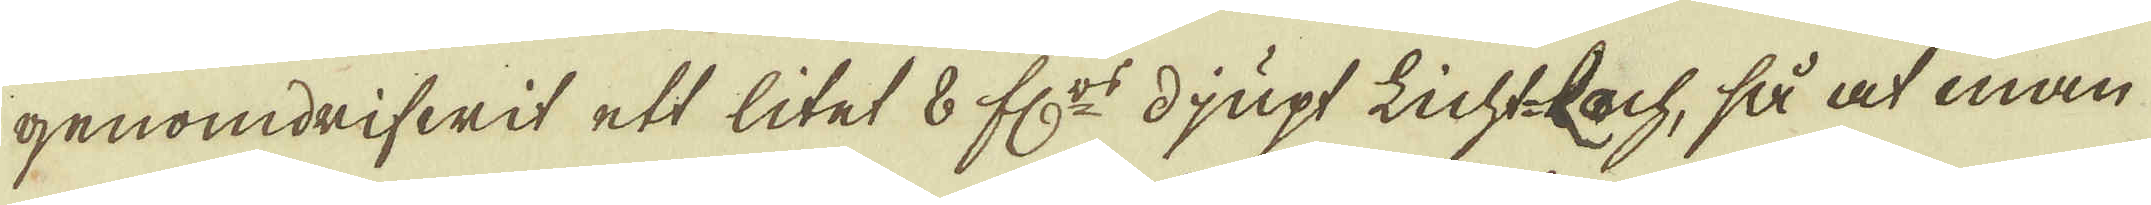genomdrifwit ett litet 8 f:rs djupt Lichtbach, så at man
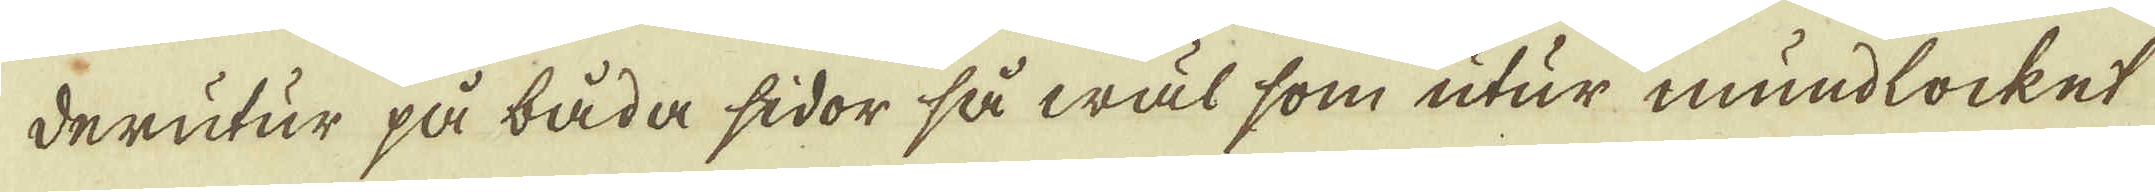derutur på båda sidor så wäl som utur mundlocket
